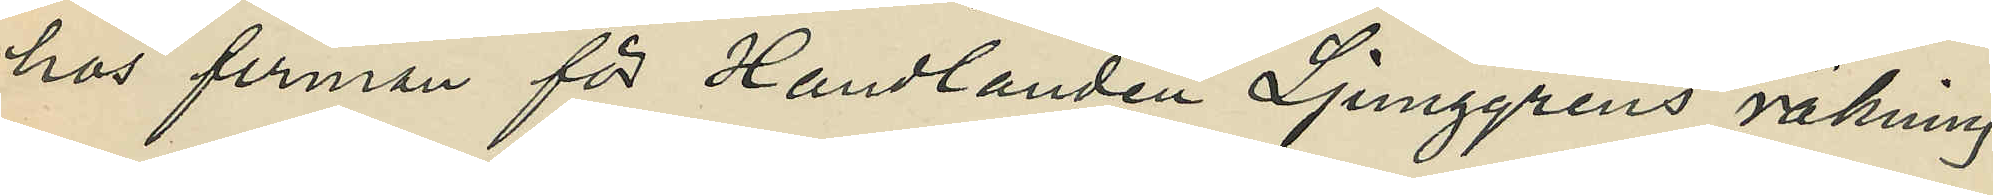hos firman för Handlanden Ljunggrens räkning
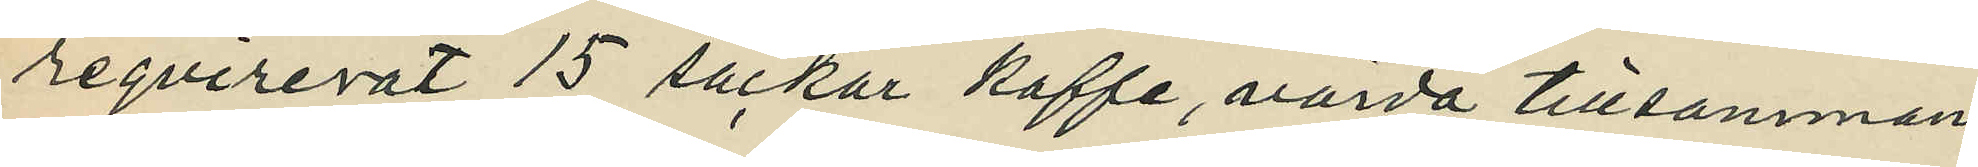reqvirerat 15 säckar kaffe, värda tillsammans
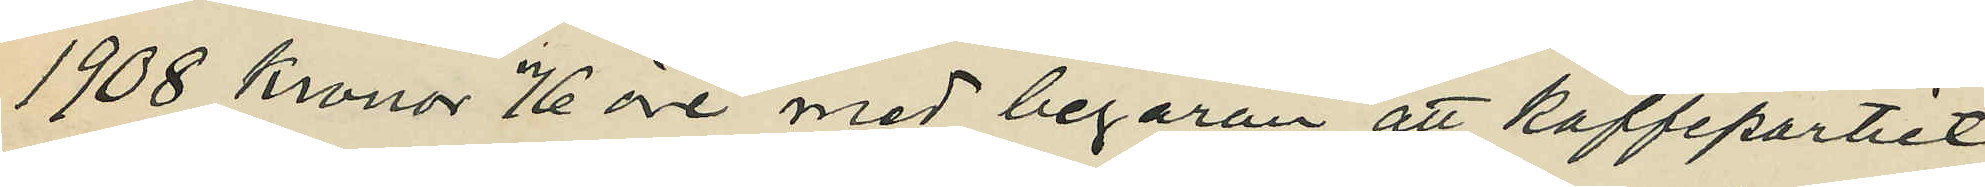1908 kronor 76 öre med begäran att kaffepartiet
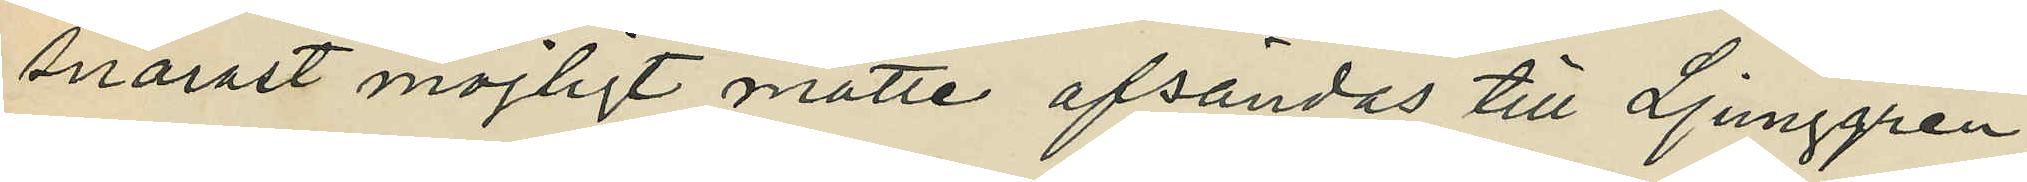snarst möjligt måtte afsändes till Ljunggren;
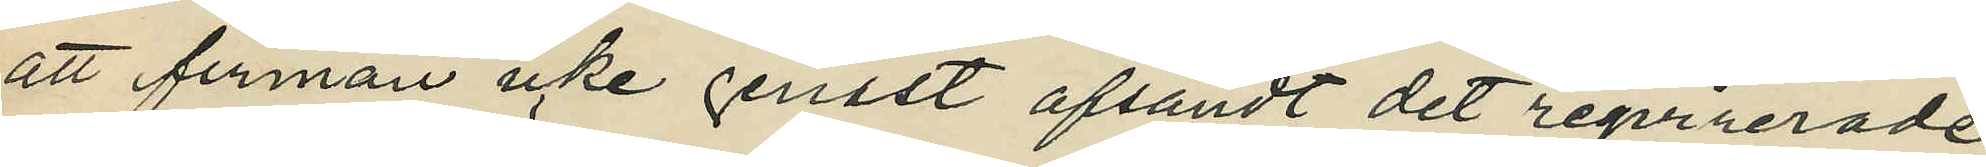att firman icke senast afsändt det regvirerade
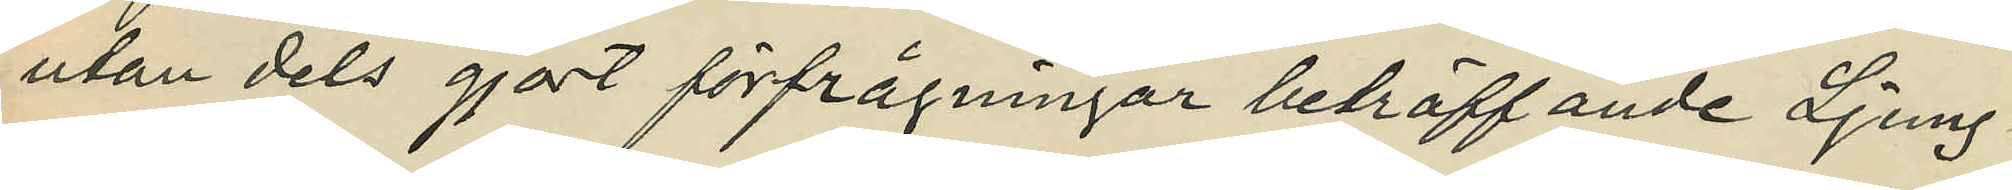utan dels gjort förfrågningar beträffande Ljung¬
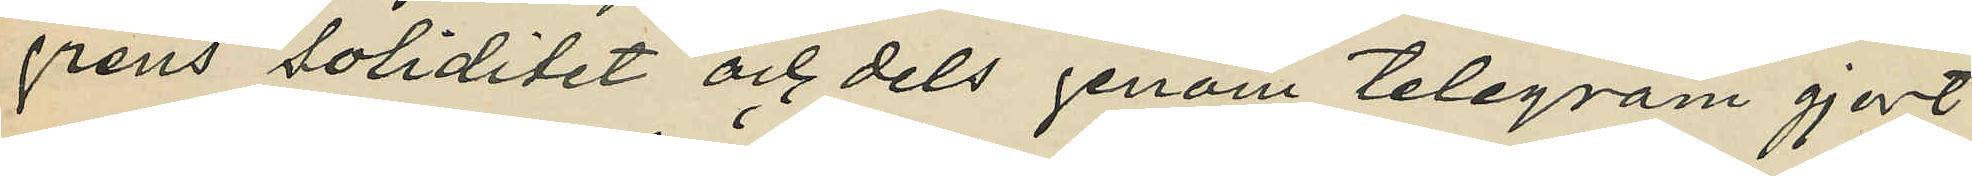grens soliditet och dels genom telegram gjort
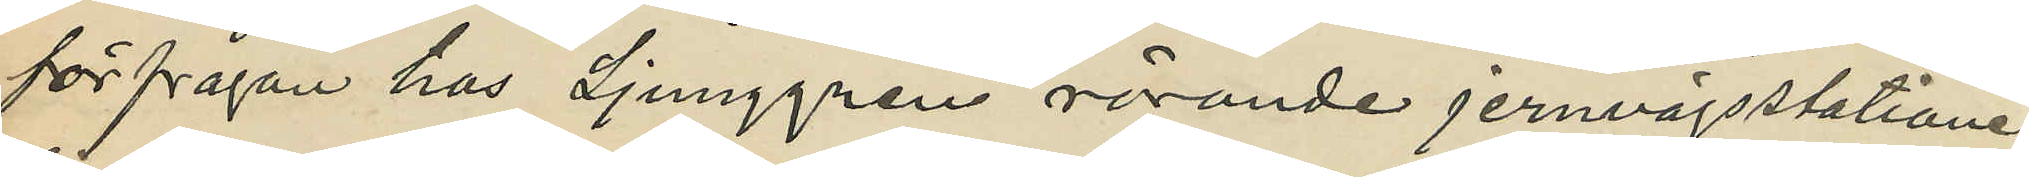förfrågan hos Ljunggren rörande jernvägsstationen
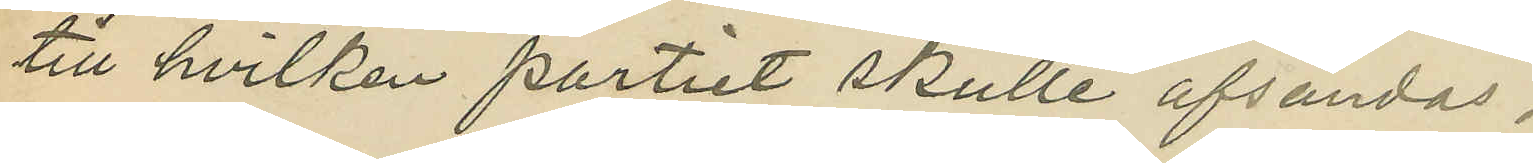till hvilken partiet skulle afsändas.
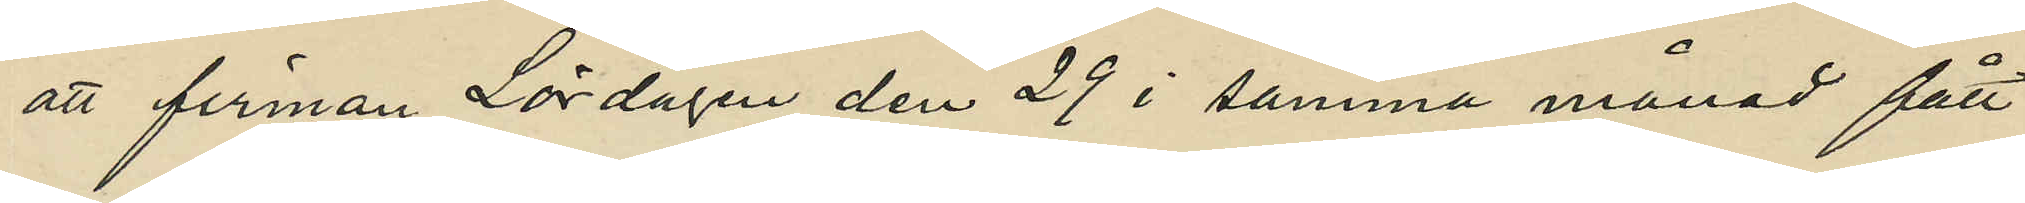att firman Lördagen den 29 i samma månad fått
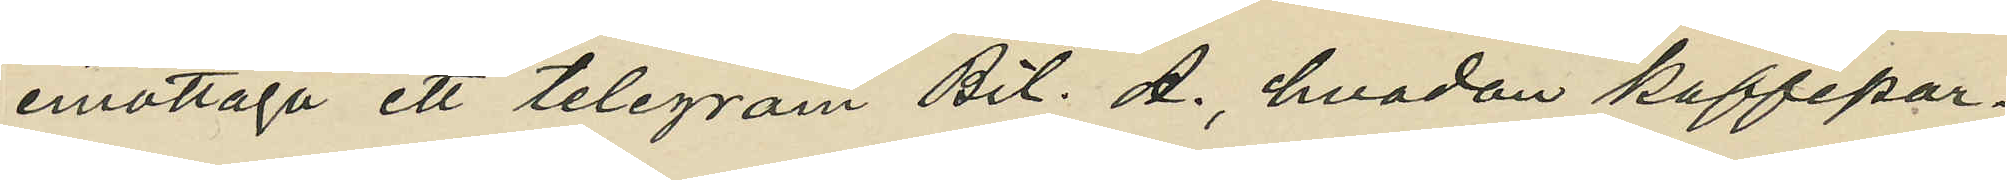emottaga ett telegram Bil. A., hvadan kaffepar¬
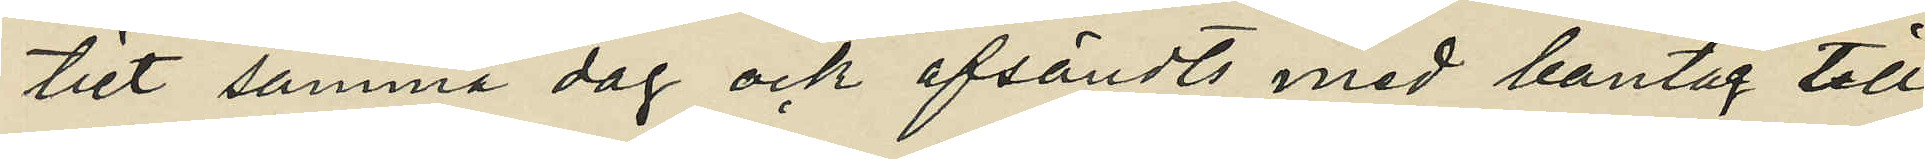tiet samma dag ock afsändts med bantåg till
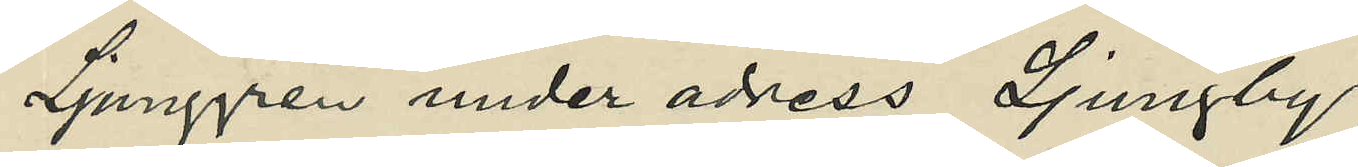Ljunggren under adress Ljungby;
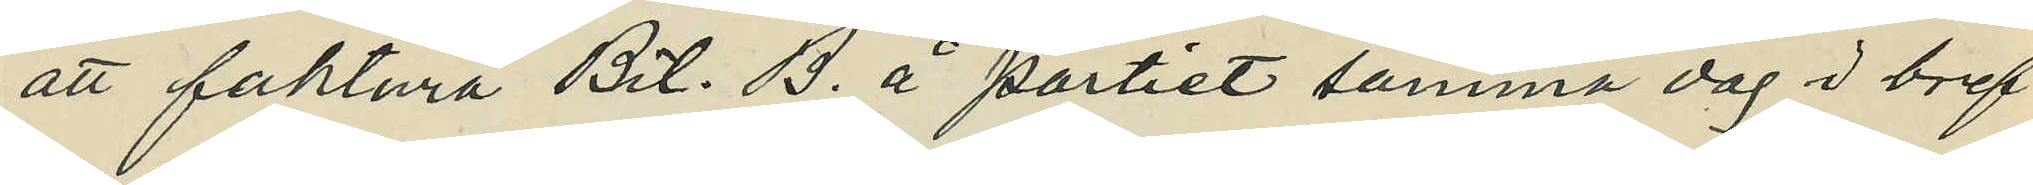att faktura Bil. B. å partiet samma dag i bref
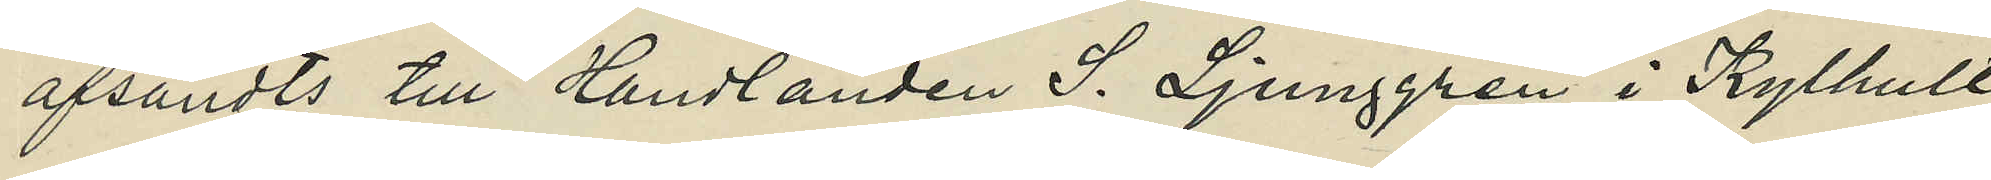afsändts till handlanden S. Ljunggren i Kylhult
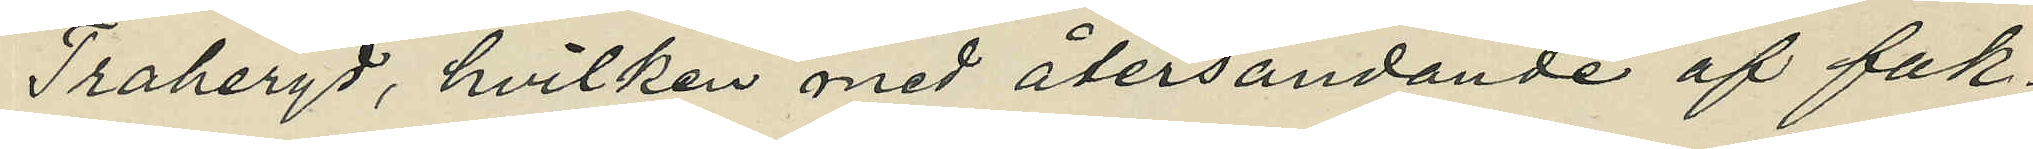Traheryd, hvilken med återsändande af fak¬
